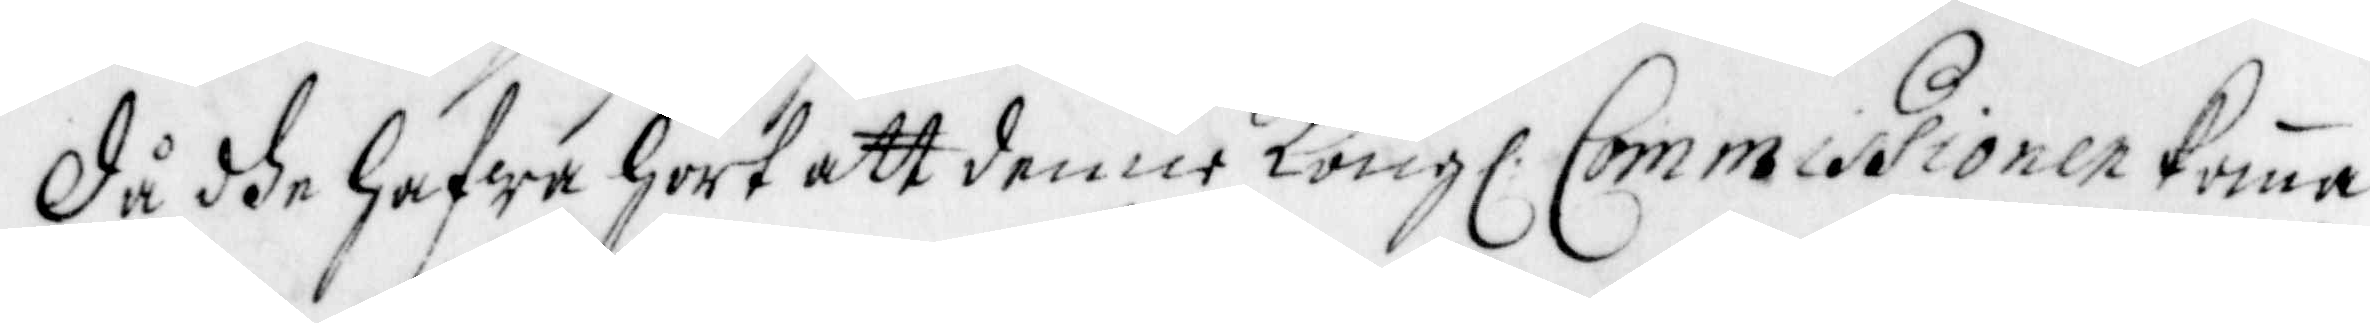Då dhe hafwa hört att denne Kongl. Commissionen komma
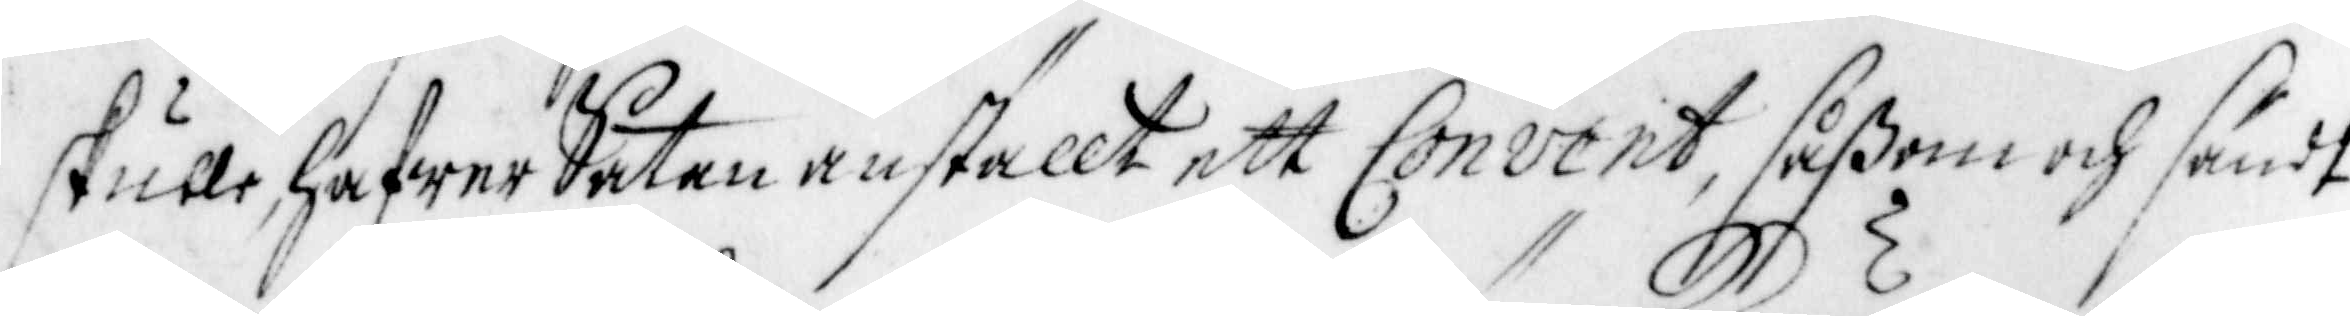skulle, hafwer Satan anställt ett Convent, såßom och sändt
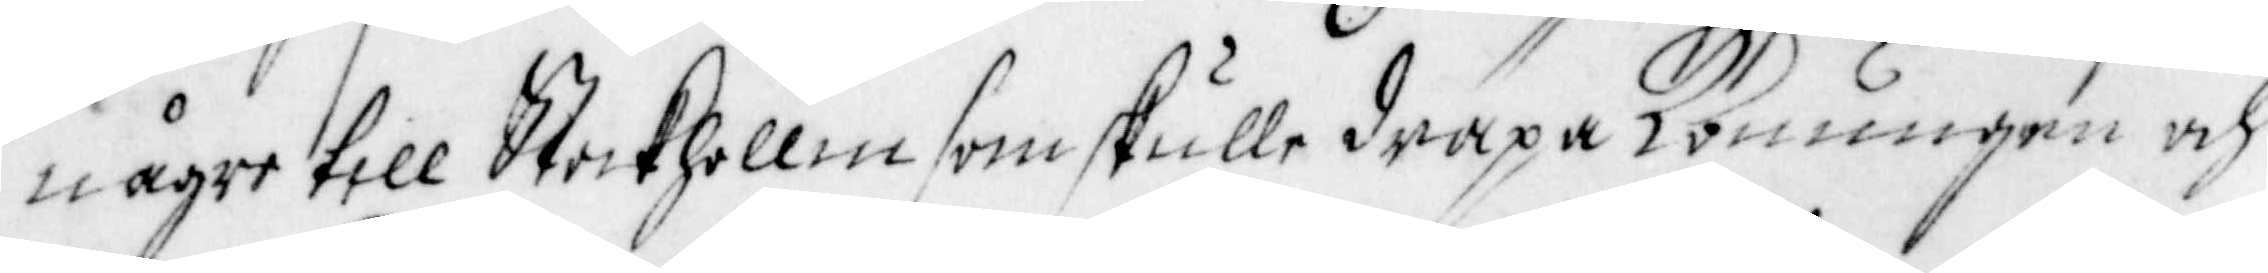någre till Stockhollm som skulle dräpa Konungen och
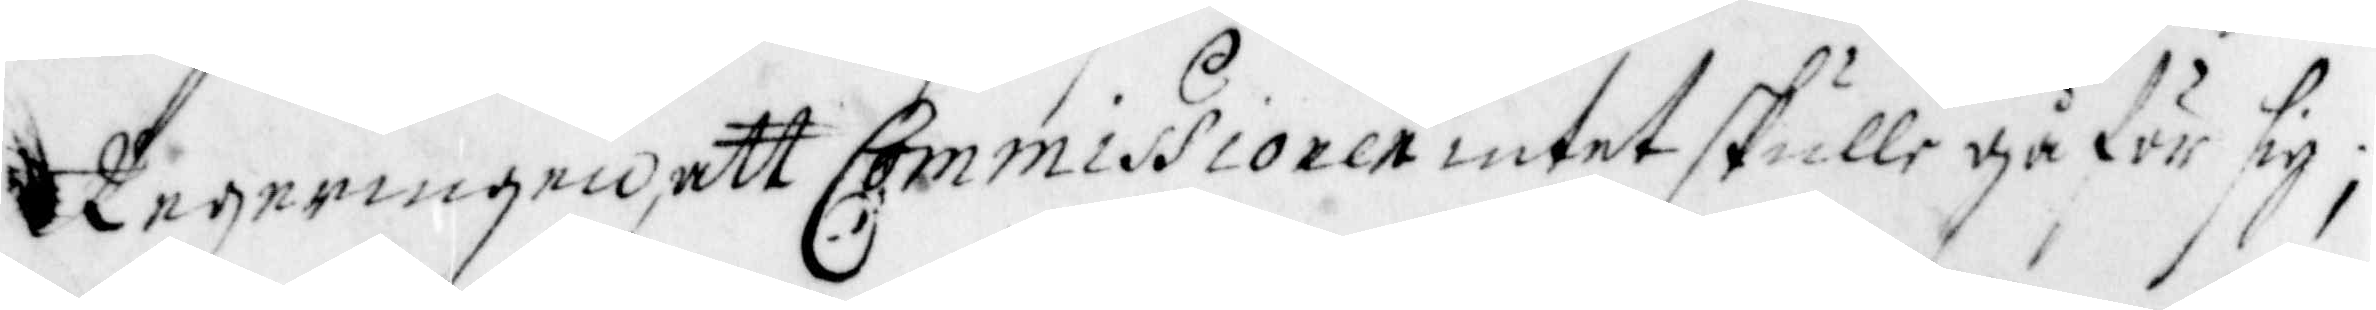regeringen, att Commissionen intet skulle gå för sig;
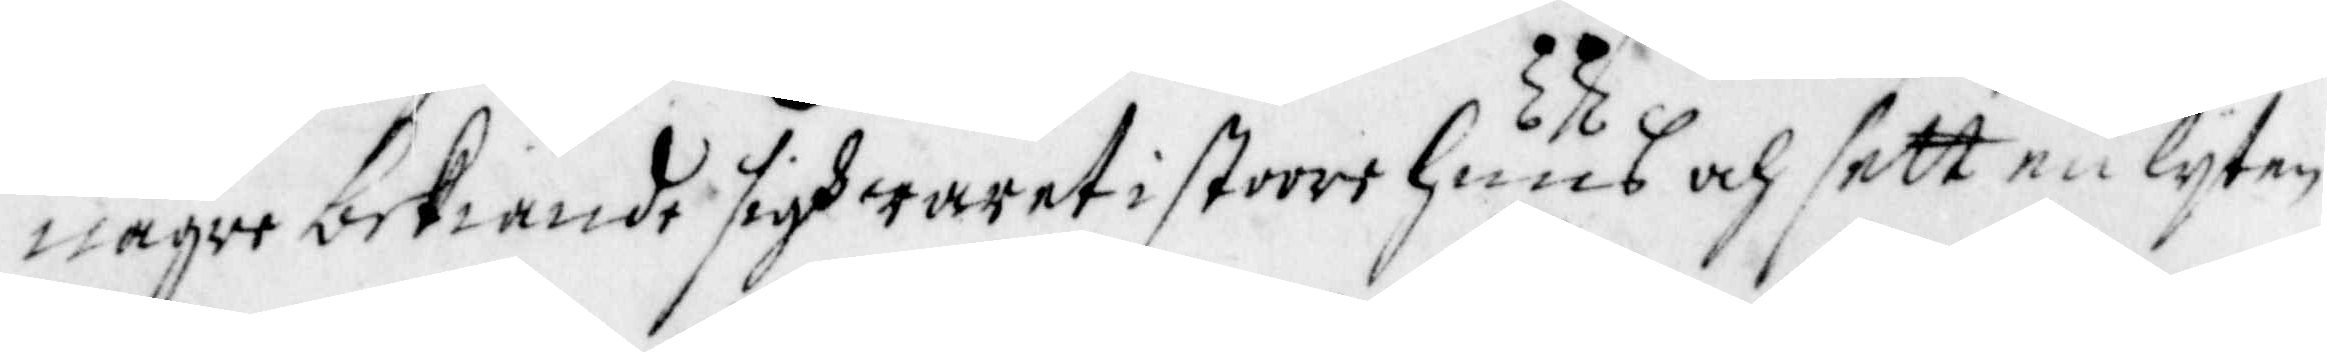någre bekiände sigh warit i stoort Huus och sett en lyten
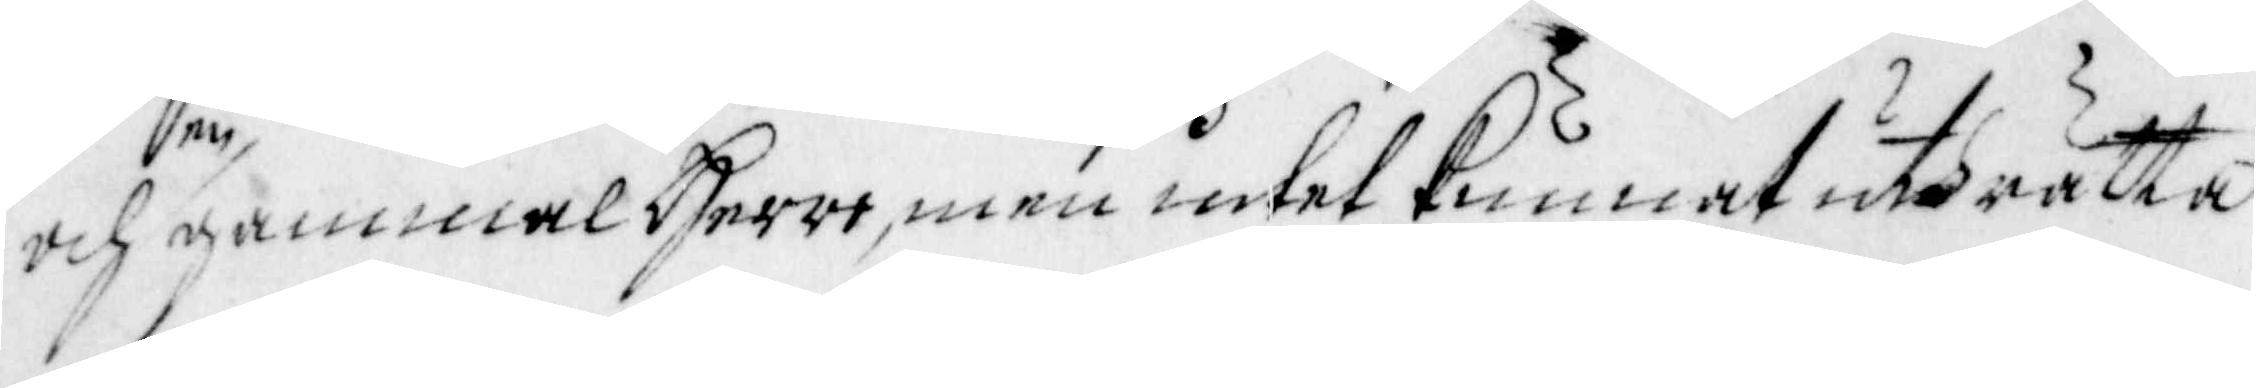och en gammal Herre, men intet kunnat uthrätta
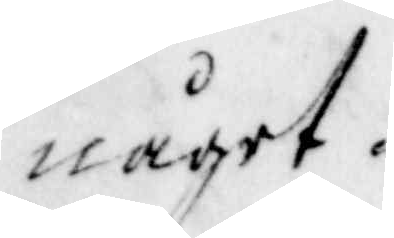något.
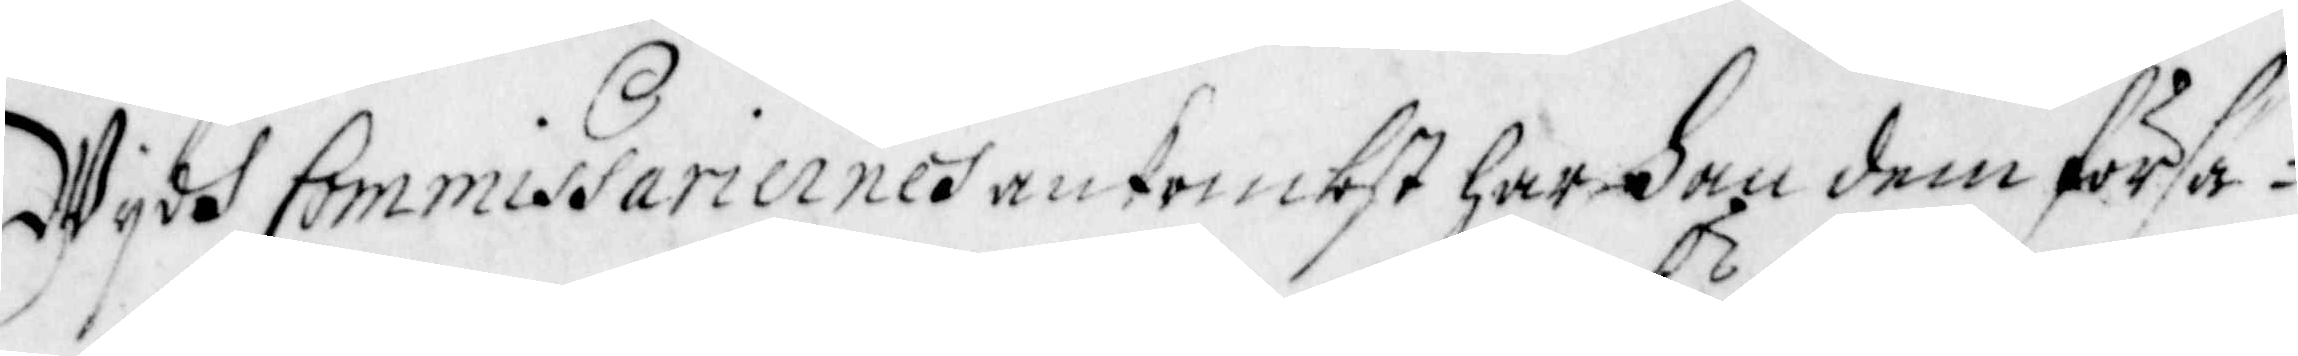Wydh Commissariernes ankombst har han dem försä¬
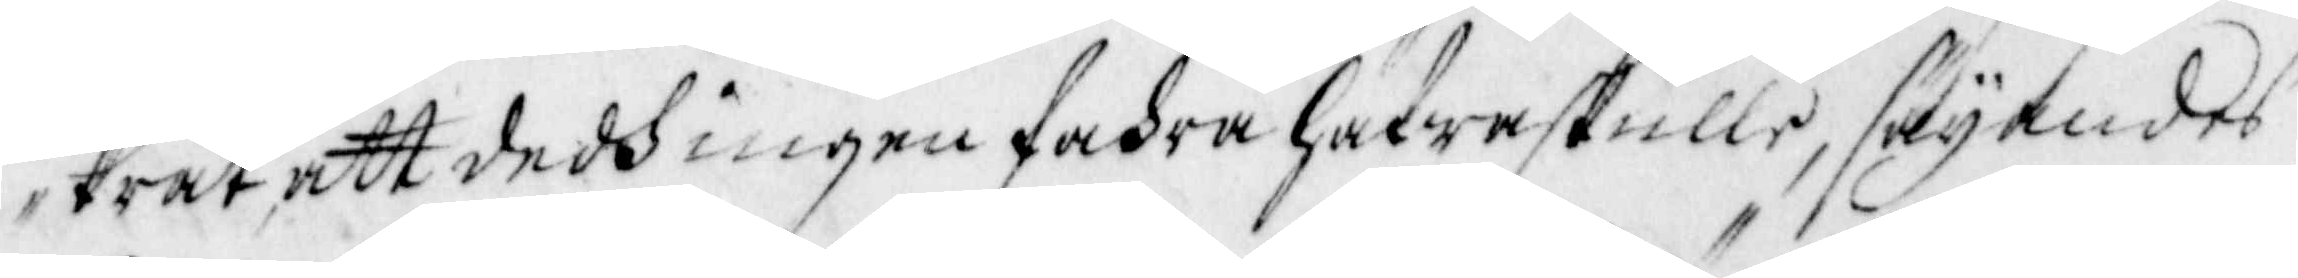krat, att dedh ingen fahra hafwa skulle, säyamdes
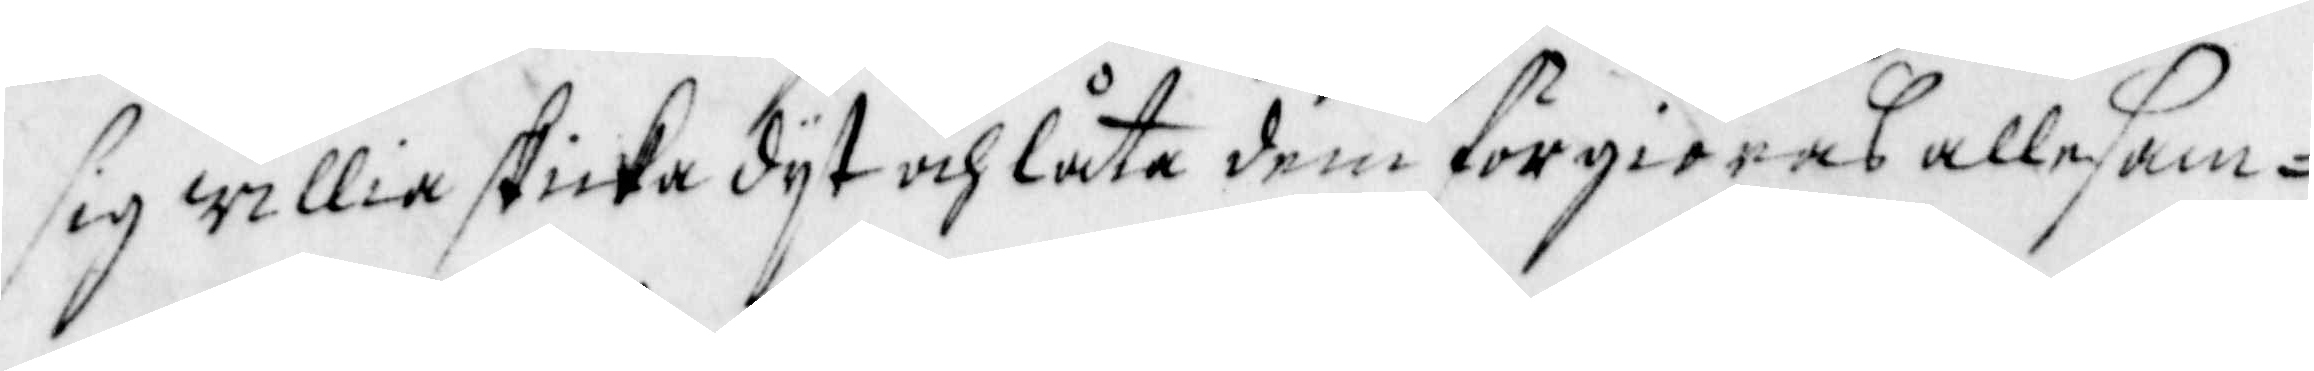sig willia skicka dyt och låta dem förgiöras allesam¬
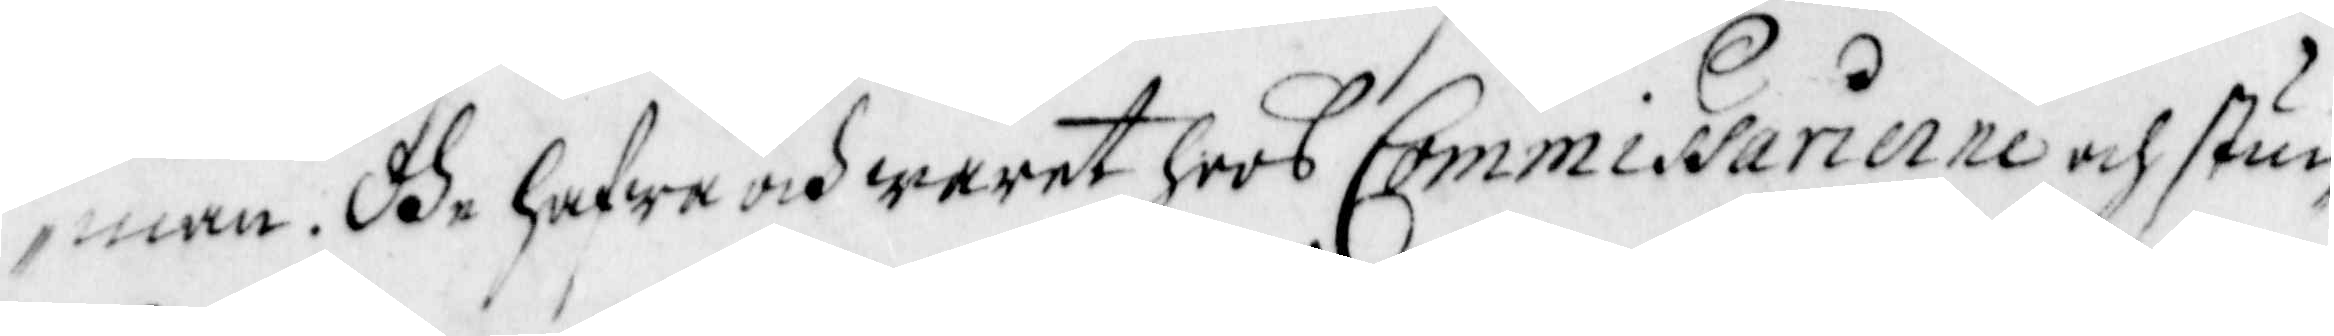man. Dhe hafwa och waren hoos Commissarierne och stuc¬
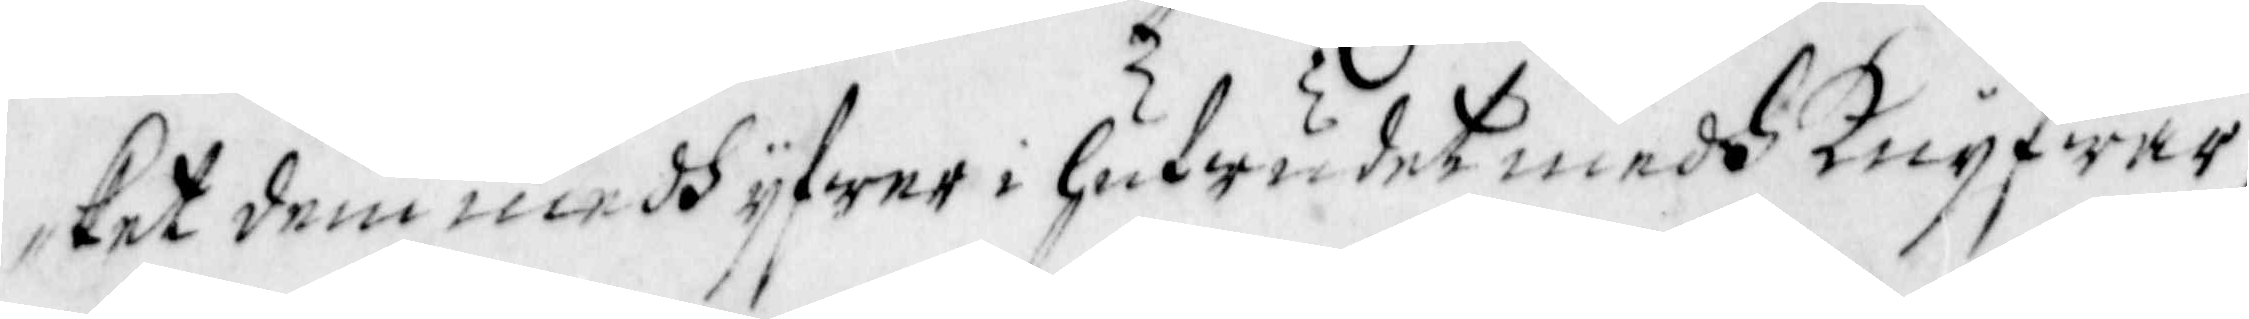ket dem medh yfwer i Hufwudet medh Knyfwar,
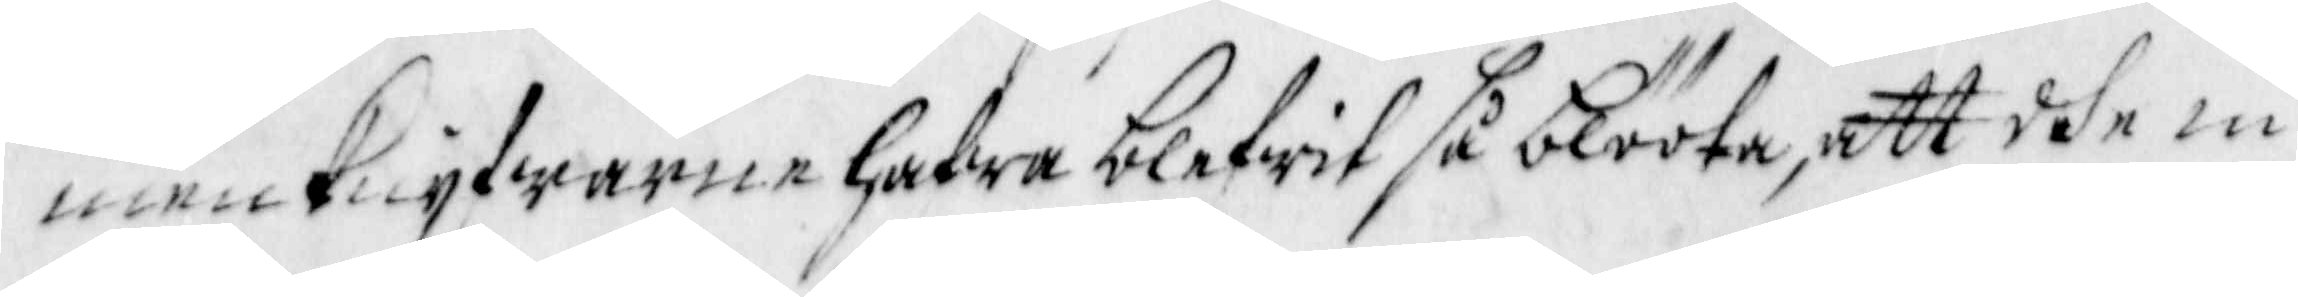men Knyfwarne hafwa blifwit så blööta, att dhe in¬
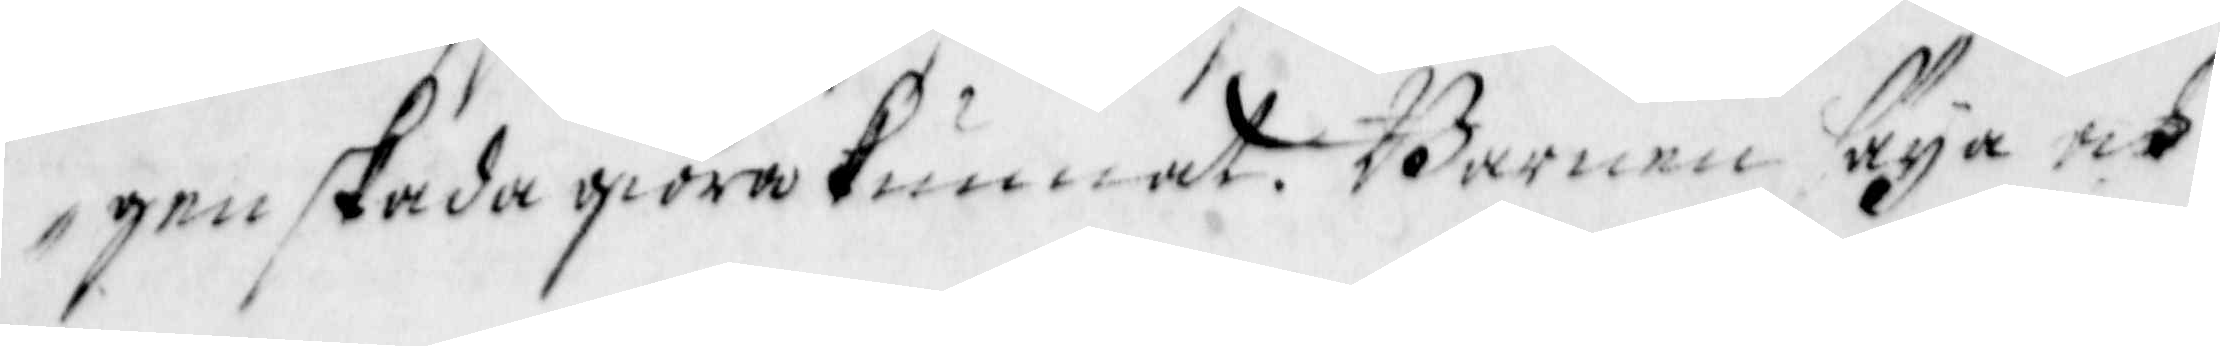gen skada giöra kunnat. Barnen säya och
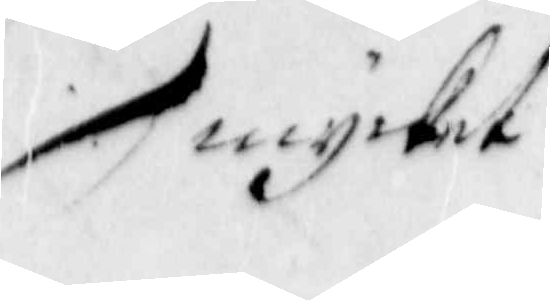mycket
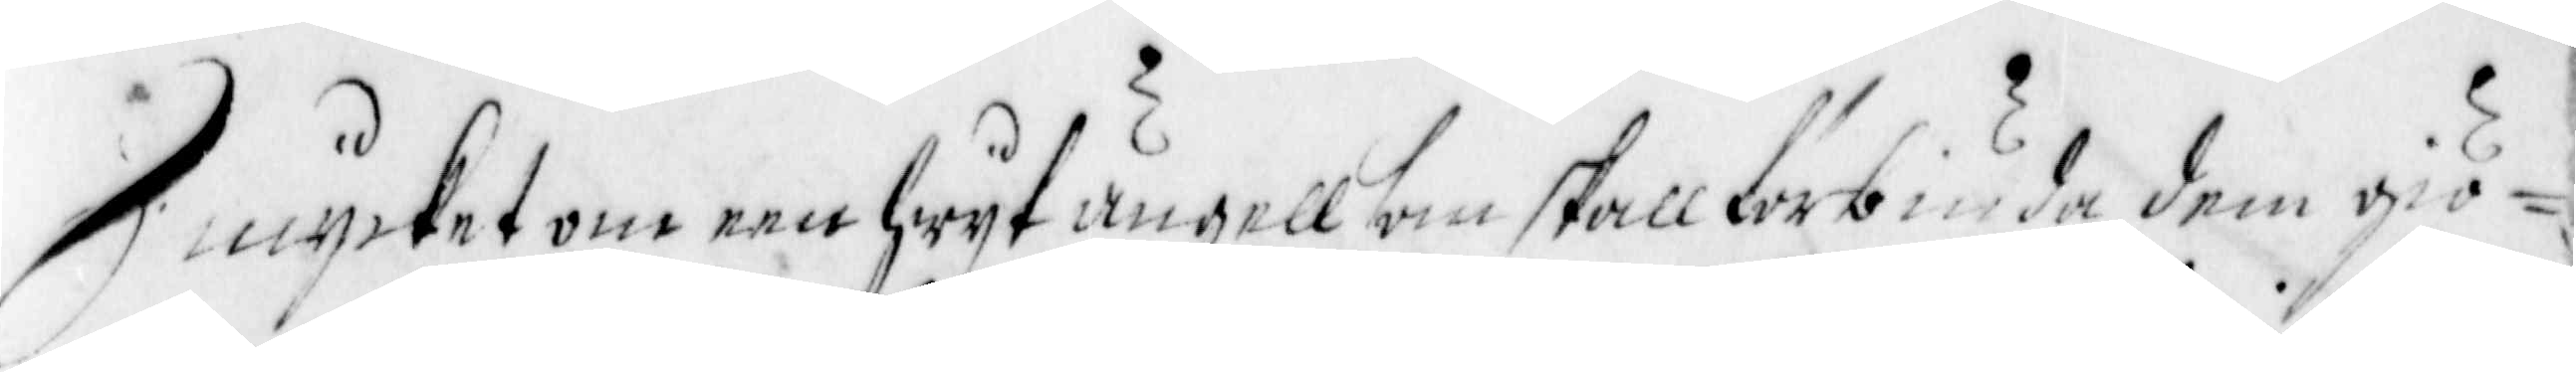mycket om een Hwyt ängell som skall förbiuda dem giö¬
